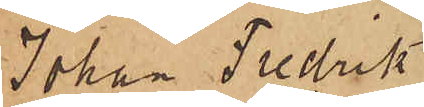Johan Fredrik
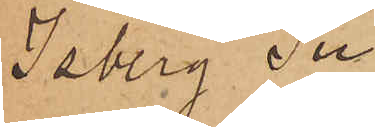Isberg Su¬
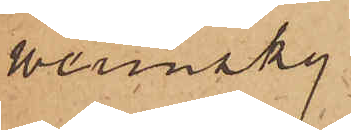werinsky
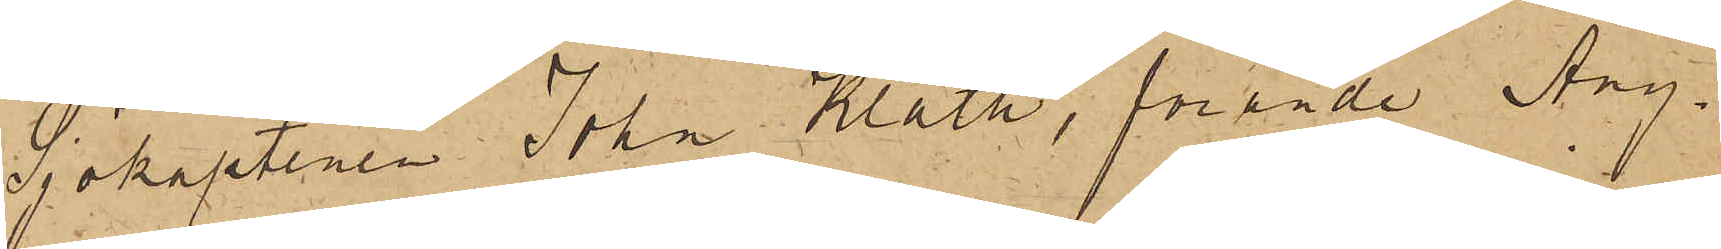Sjökaptenen John Kläth, förande Ång¬
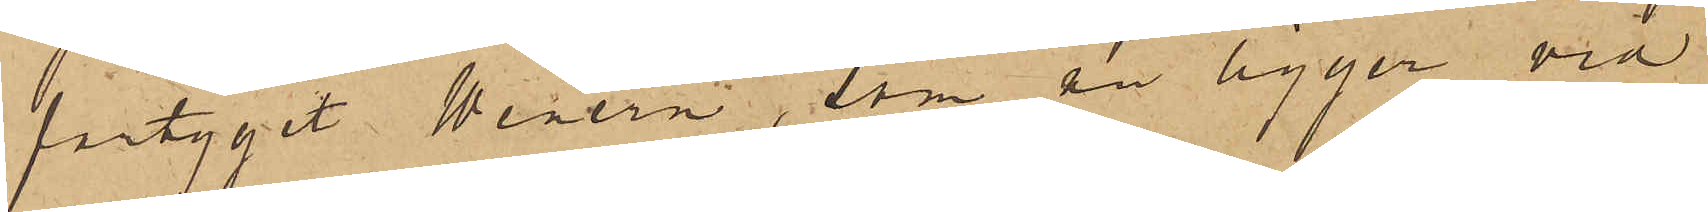fartyget Wenern, som nu ligger vid
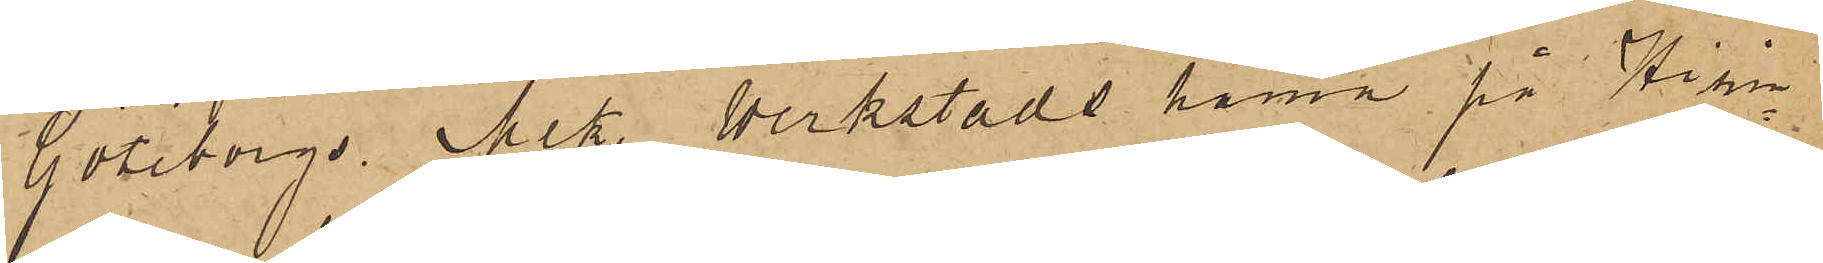Göteborgs Mek. Werkstads hamn på Hisin¬
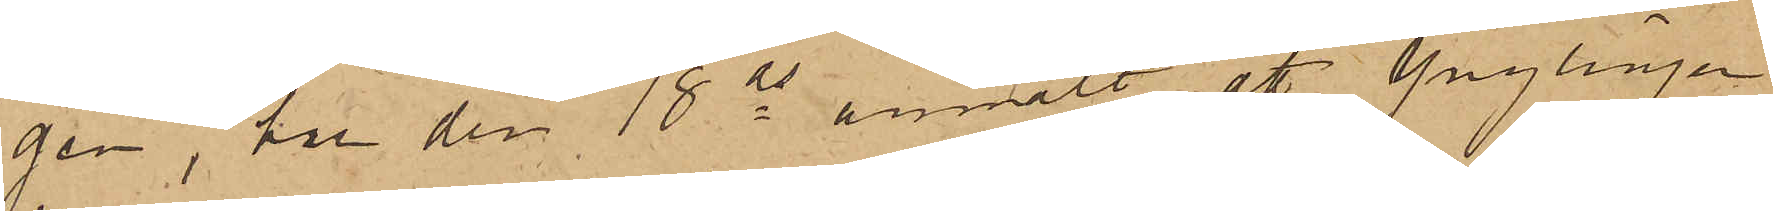gen, har den 18 ds anmält att Ynglingen
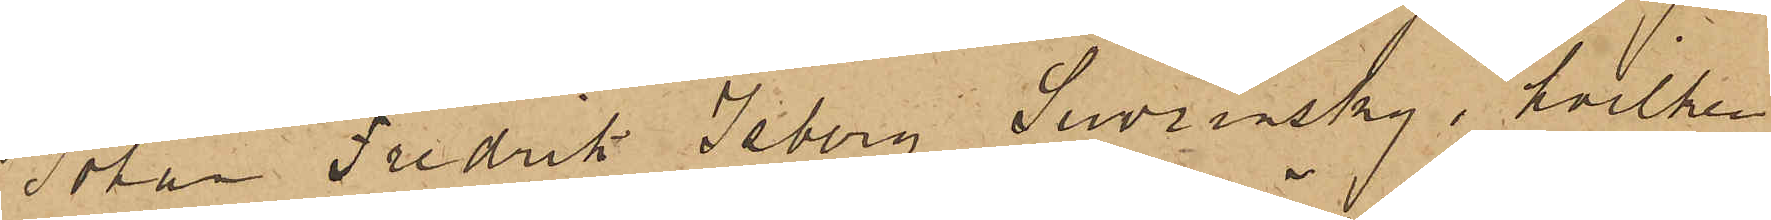Johan Fredrik Isberg Suvrinsky, hvilken
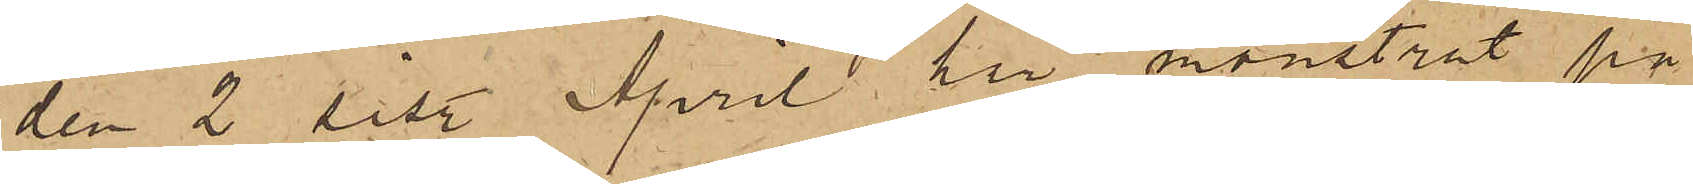den 2 sist. April här mönstrat på
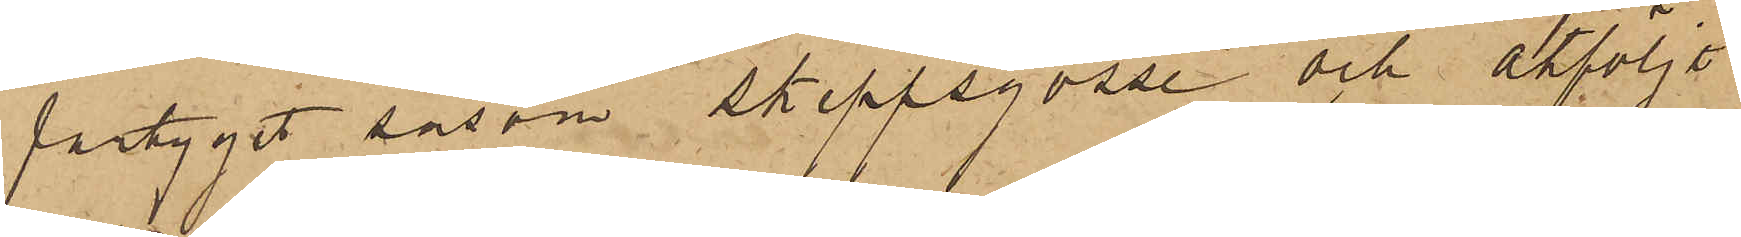fartyget såsom Skeppsgosse och åtföljt
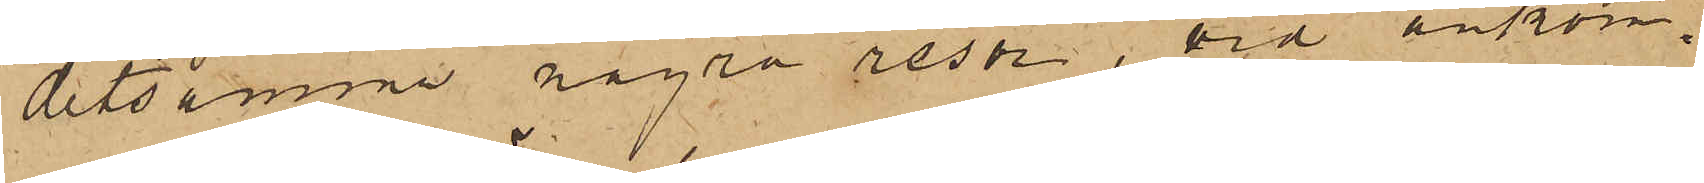detsamma några resor, vid ankom¬
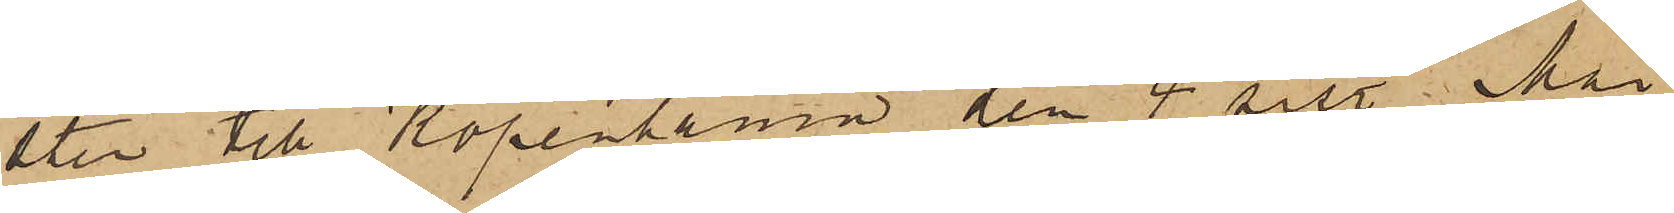sten till Köpenhamn den 4 sist. Mai
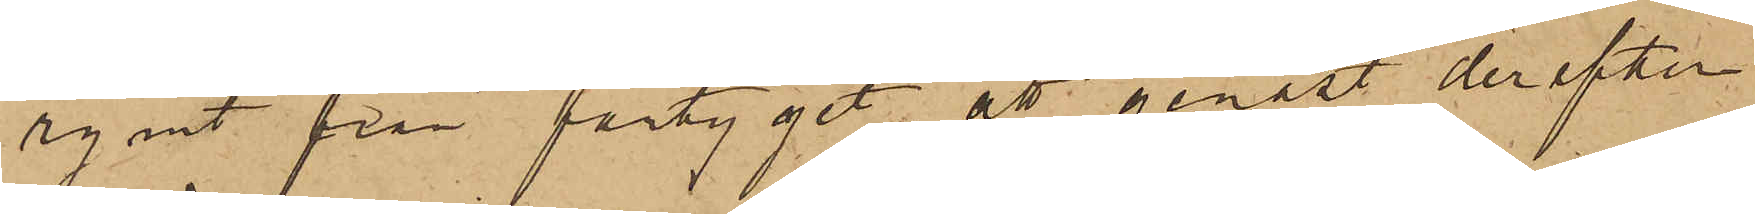rymt från fartyget; att genast derefter
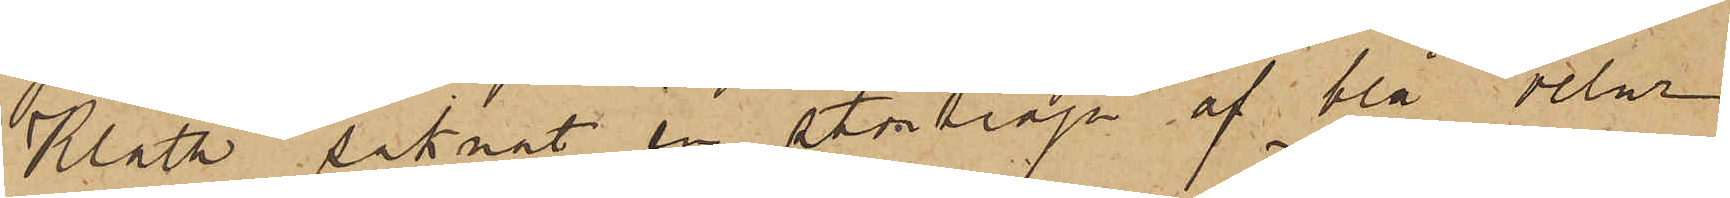Kläth saknat en stortröja af blå velur
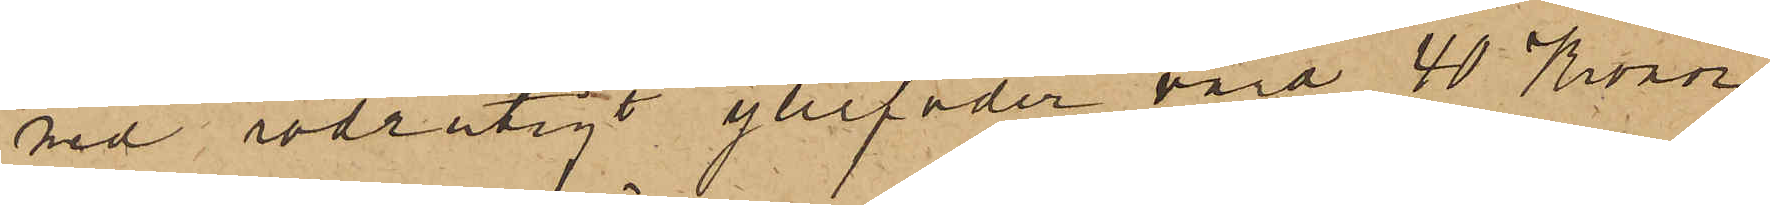med rödrutigt yllefoder värd 40 Kronor
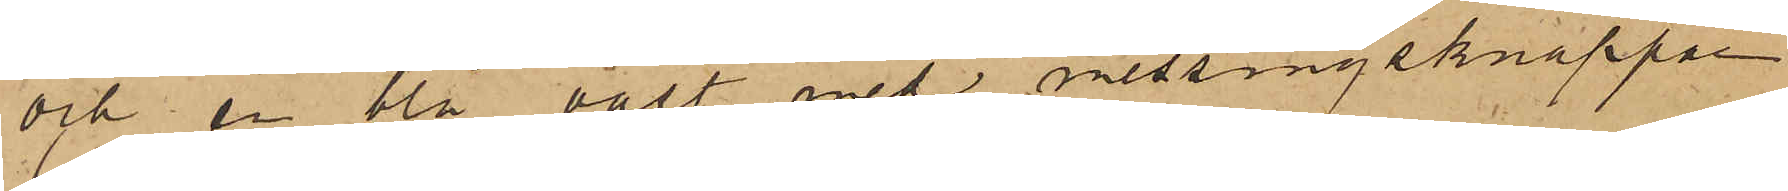och en blå väst med messingsknappar
